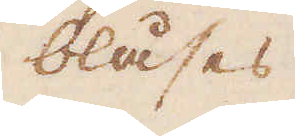blåses
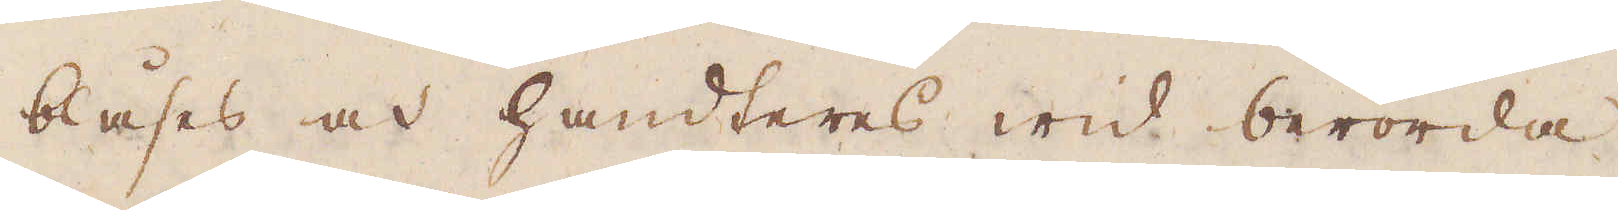blåses och handteres wid berörda
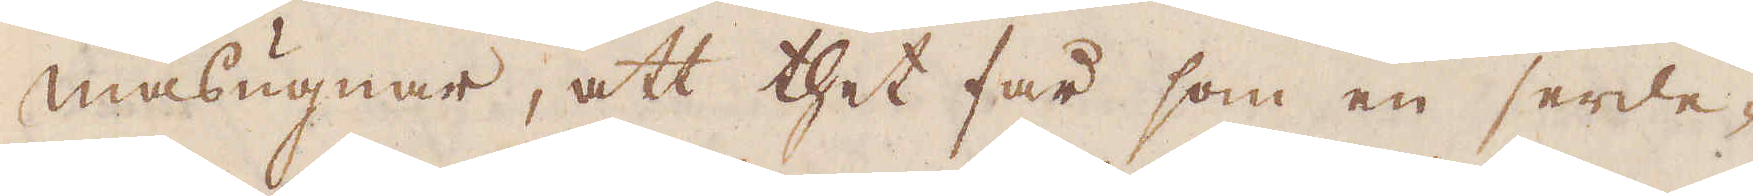masugnar, att thet får som en serde-
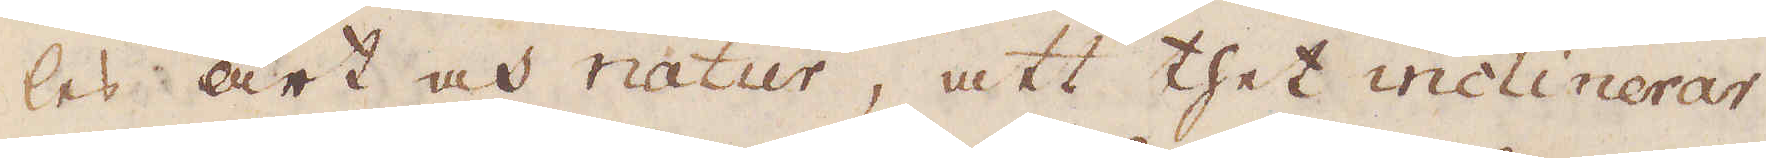les art och natur, att thet inclinerar
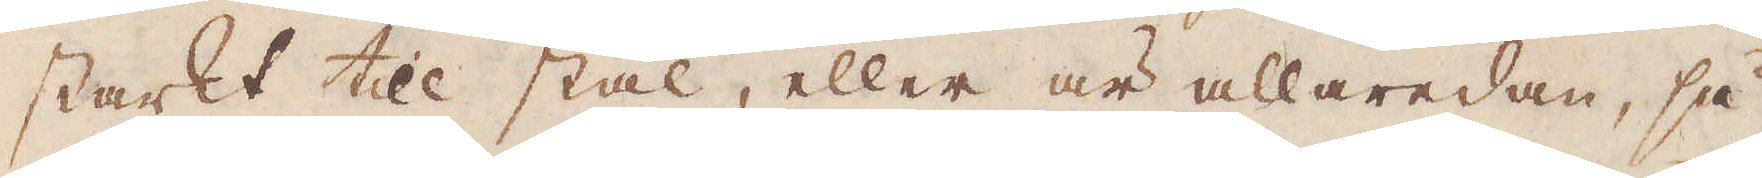starkt till stål, eller är allaredan, så
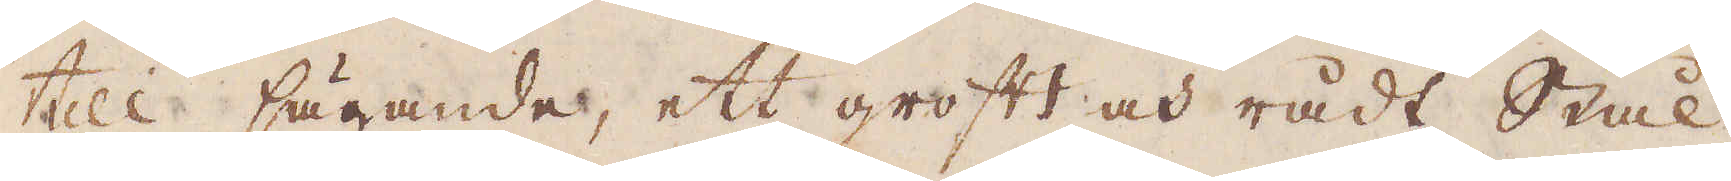till sägande, ett groft och rådt Stål,
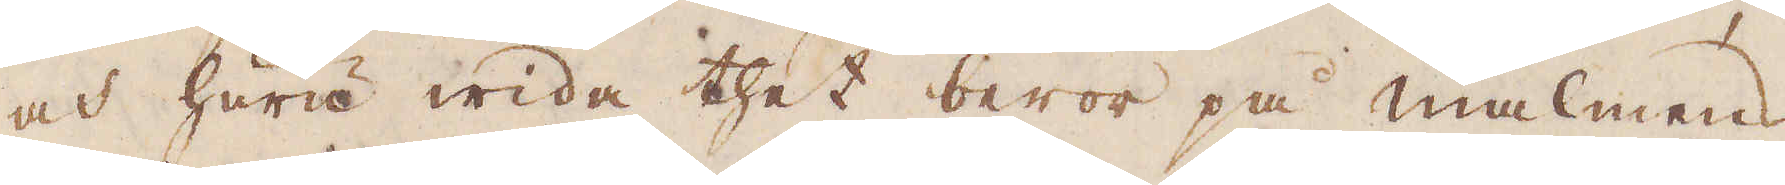och huru wida thet beror på malmens
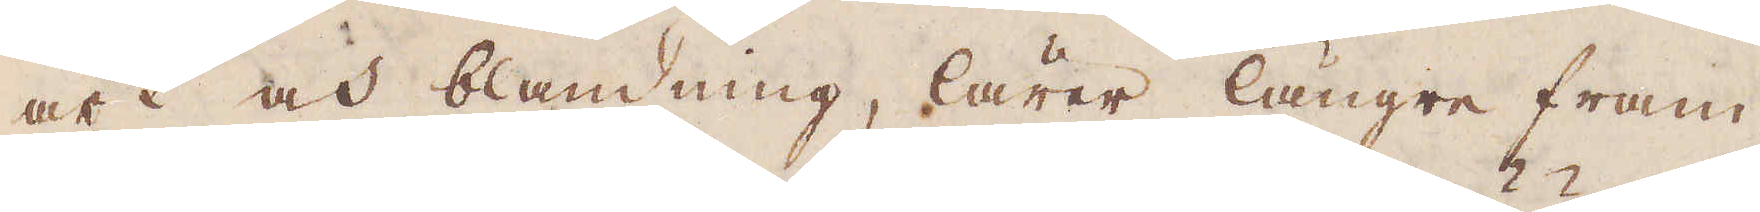art och blandning, lärer längre fram
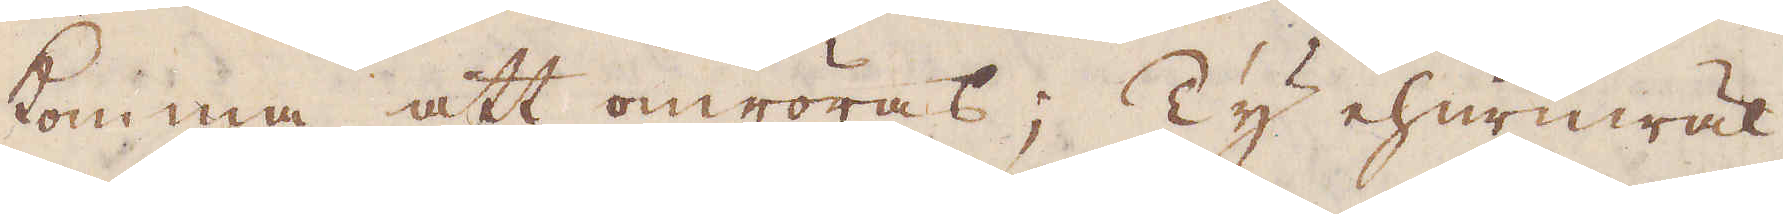komma att omröras; Ty ehuruwäl
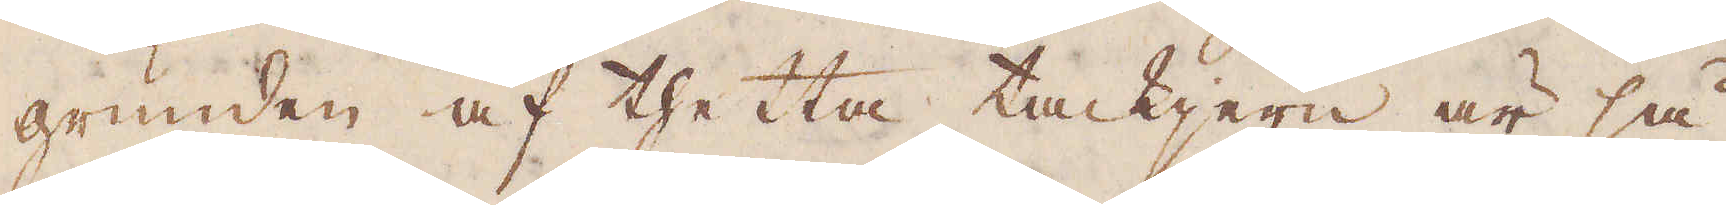grunden af thetta tackjern är så
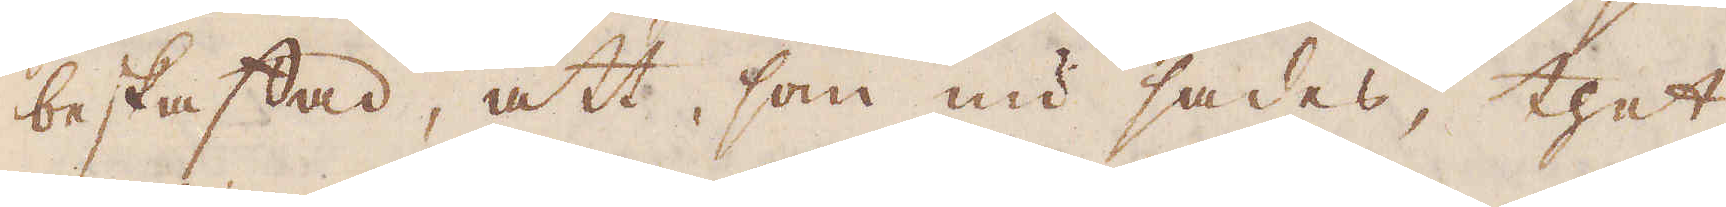beskaffad, att, som nu sades, thet
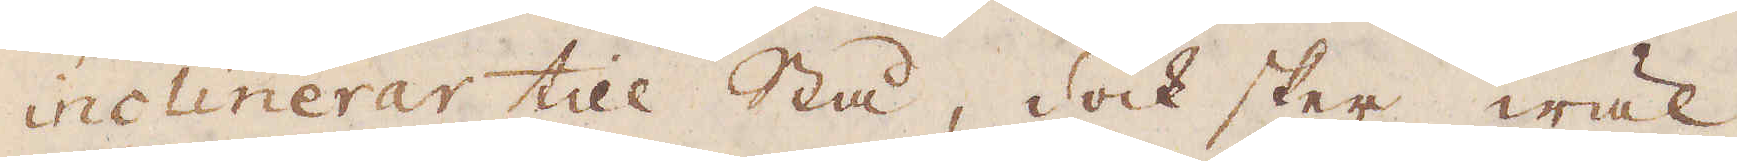inclinerar till Stå, dock sker wäl,
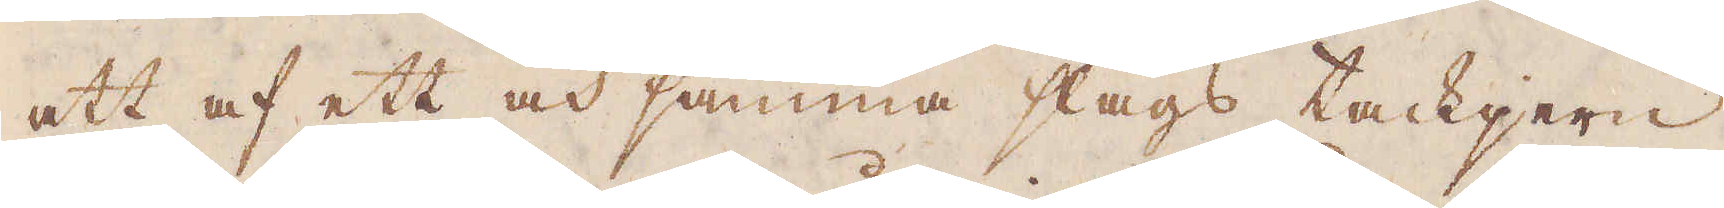att af ett och samma slags tackjern,
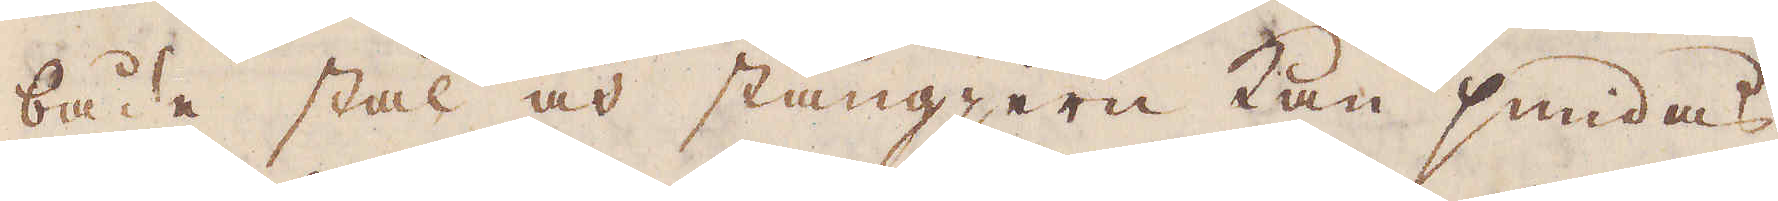både stal och stångjern kan smidas,
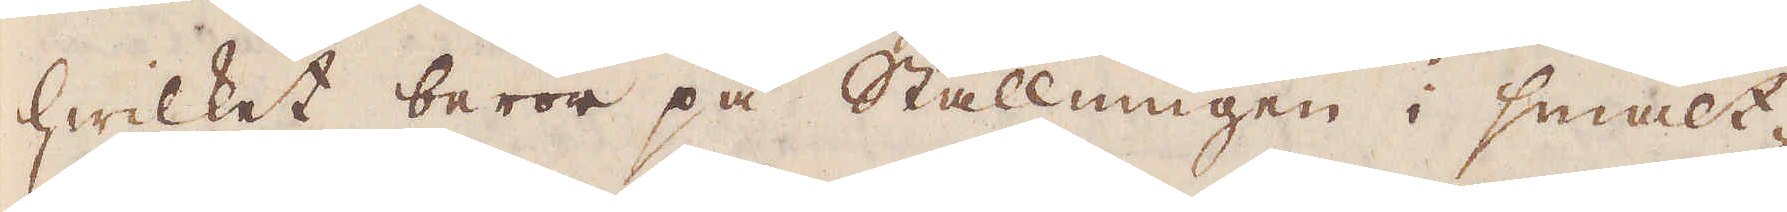hwilket beror på Ställningen i smält-
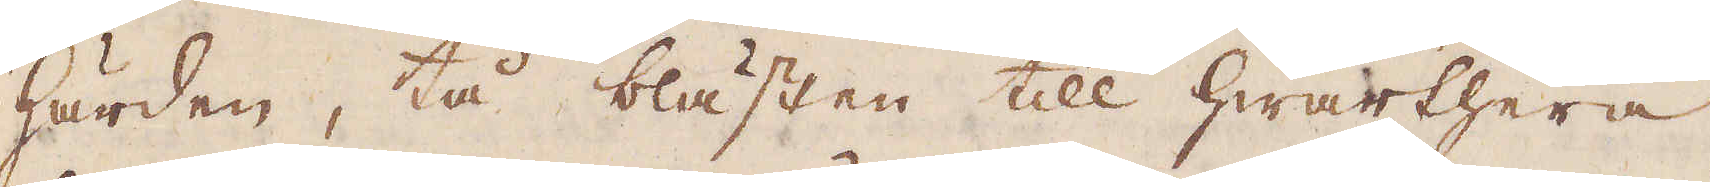härden, tå blästen till hwarthera
